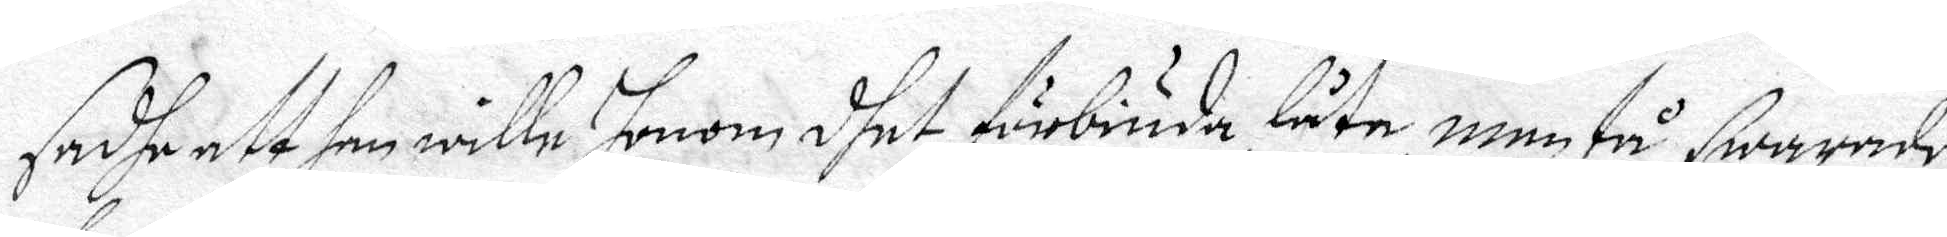sadhe att han wille honom dhet förbiuda låte, men tå swarade
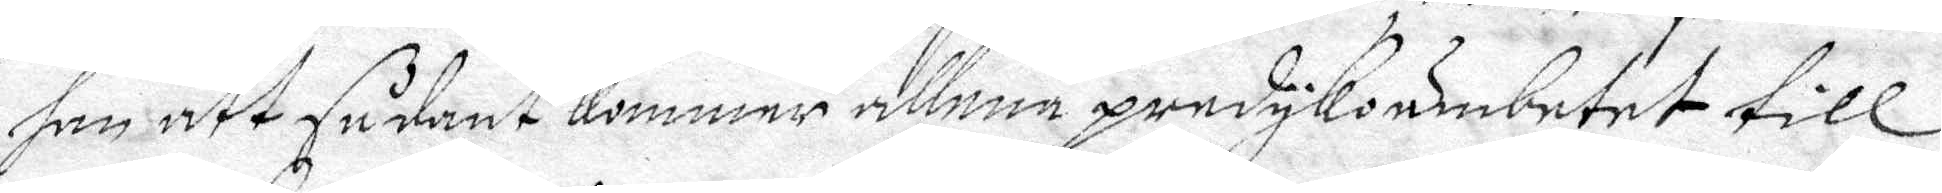han att sådant kommer allena predykoämbetet till
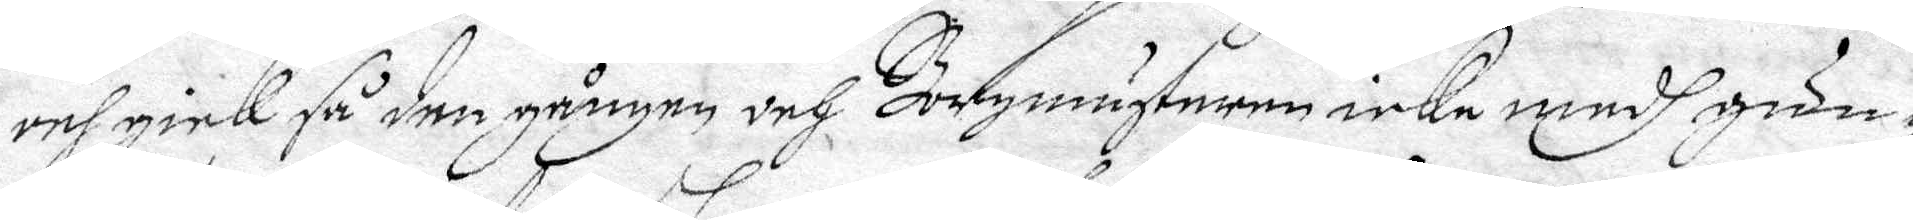och gick så den gången och Borgmästaren icke medh gun¬
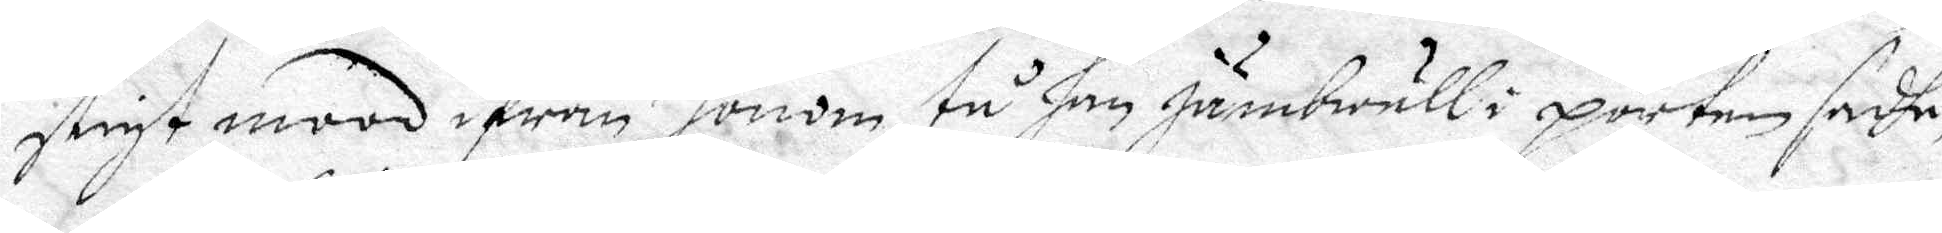stigit mood ifrån honom, tu han jämbwäll i porten sadhe,
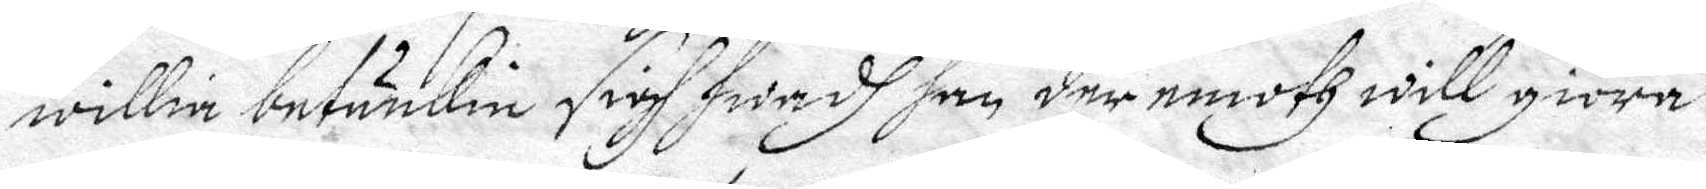willia betiäkie sigh hwadh han der emoth will giöra.
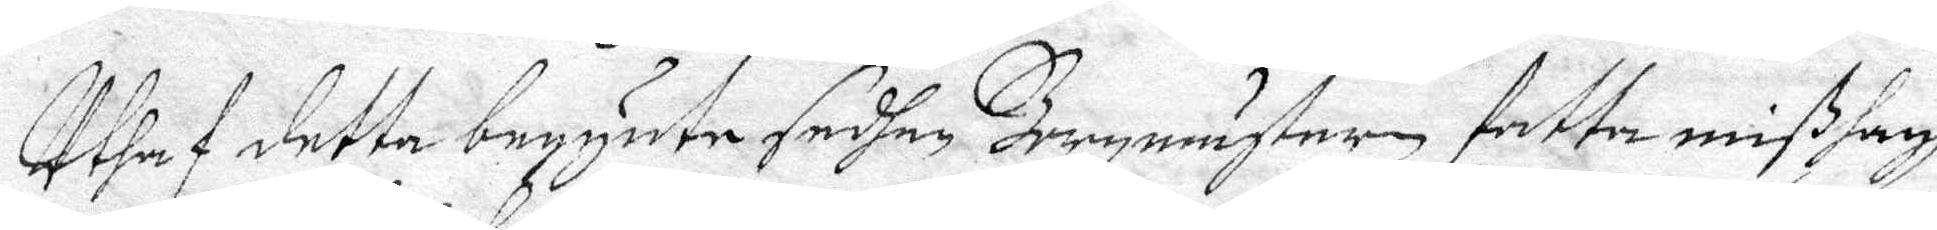Uhatf detta begynte sedhan Bormmästaren fatta mißhagh
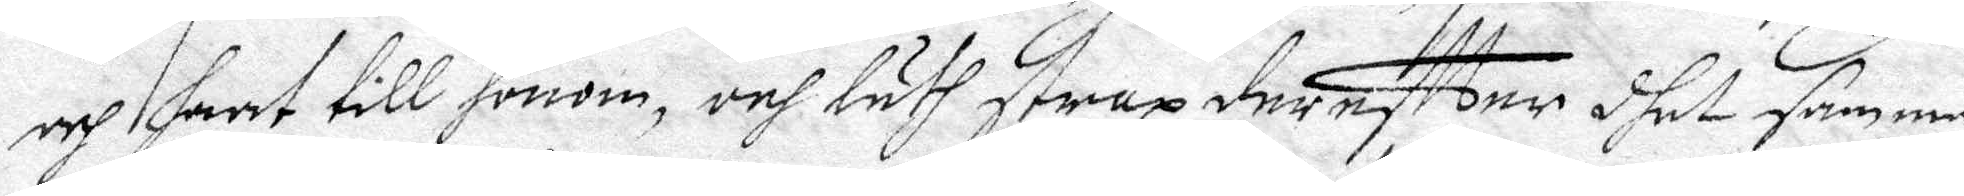och haat till honom, och läth strax dereftter dhet samma
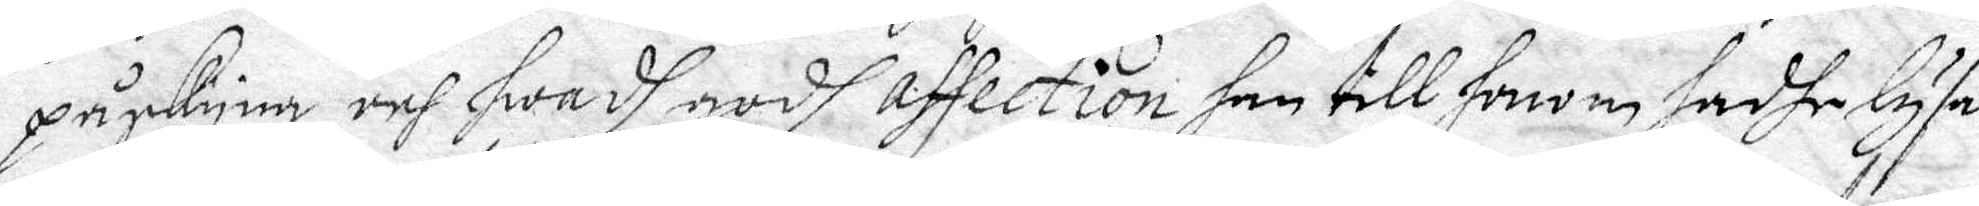påskyne, och hwadh godh affection han till honom hadhe lysa
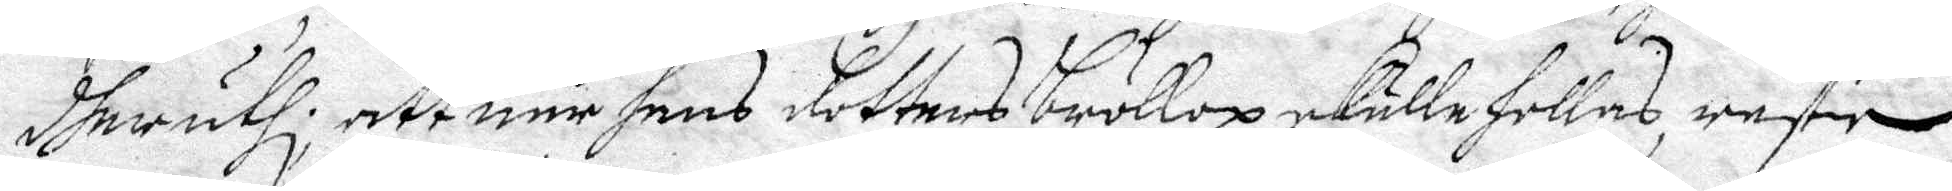dheruthi, att när hans dotters Bröllop skulle hollas, rester
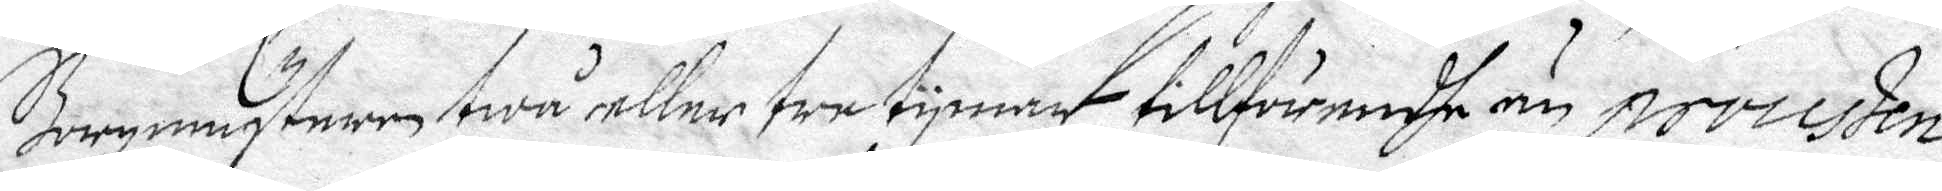Borgmästaren twå eller tre tymar tillförendhe än processen
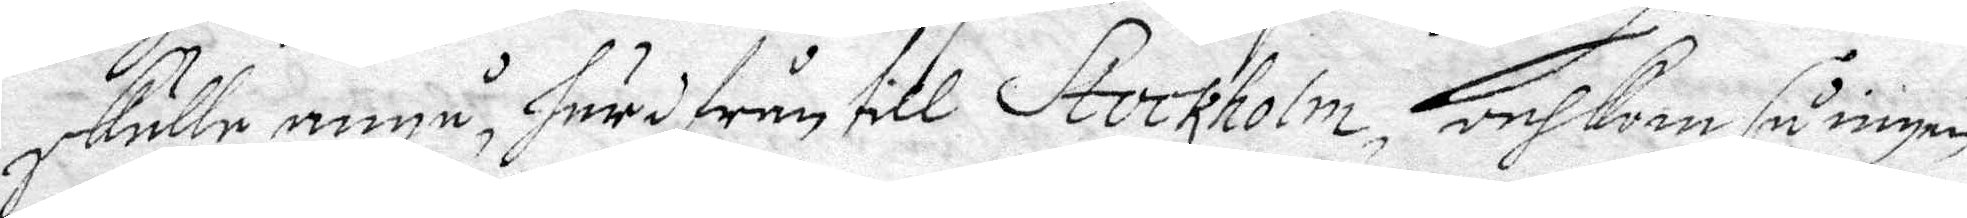skulle angå, härifrån till Stockholm, och kom så ingen
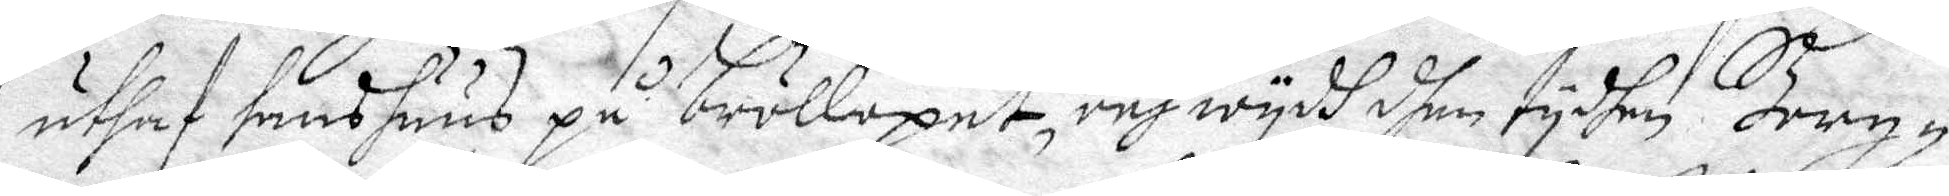uthaf hans huus på bröllopet, och wydh dhen tydhen Borg¬
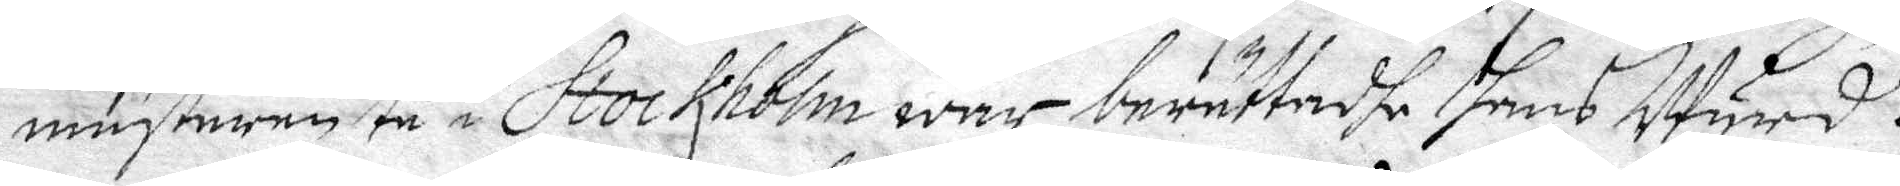mästaren tå i Stockholm war, berättadhe hans Wyrd.t.
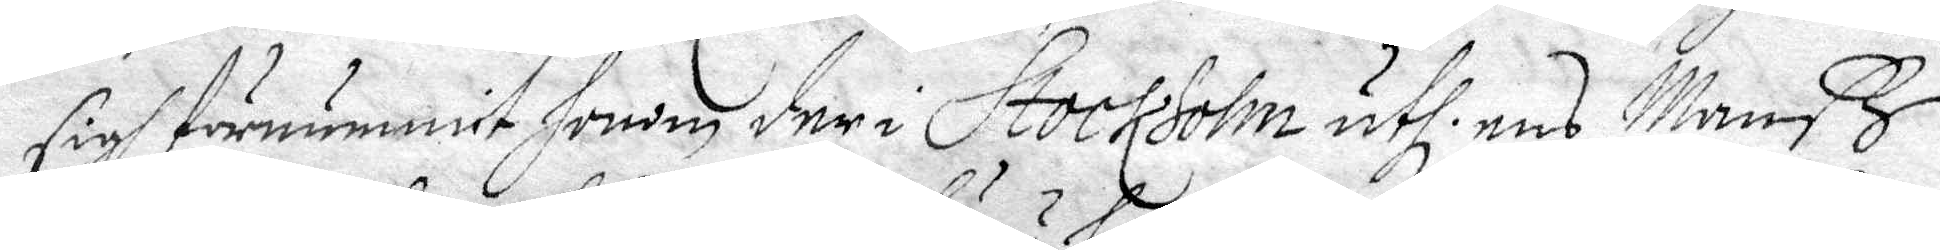sigh förnummit honom der i Stockholm uthi ens Manß
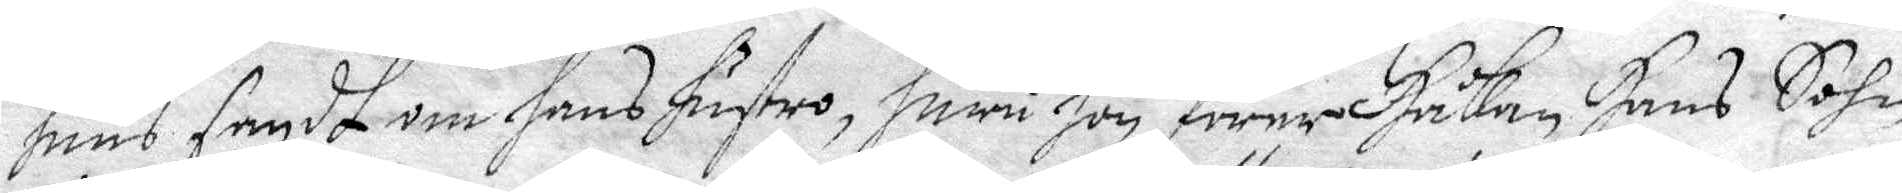huus sagdt om hans hustro, huru hon förer Håkan Hans Sohn
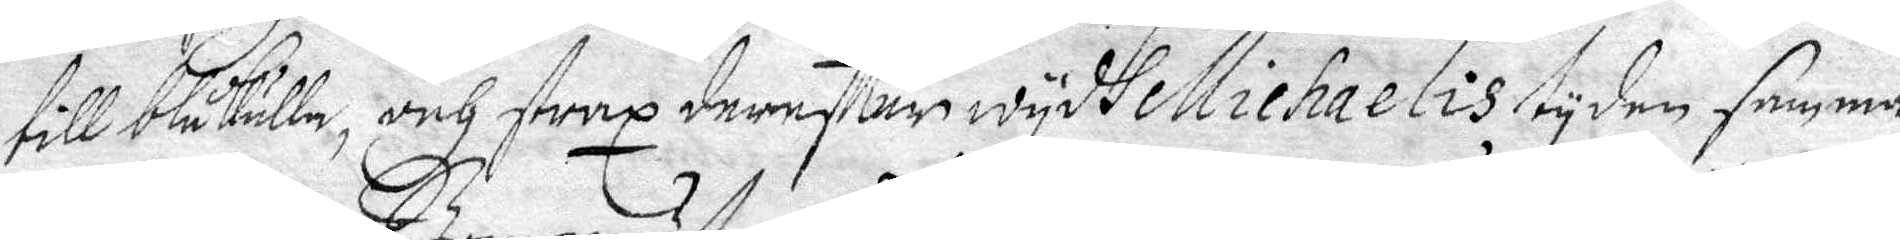till Blåkulla, och strax dereftter wydh Michaelis tyden samma
